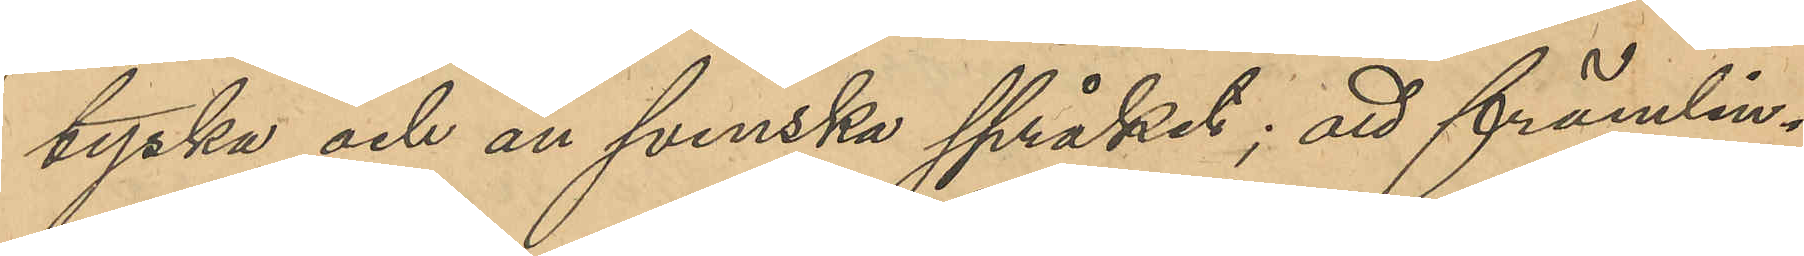tyska och än svenska språket; att främlin¬
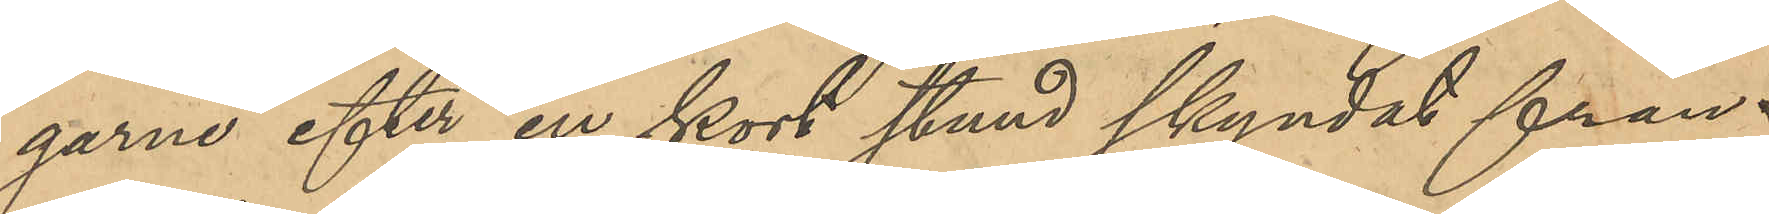garne efter en kort stund skyndat från
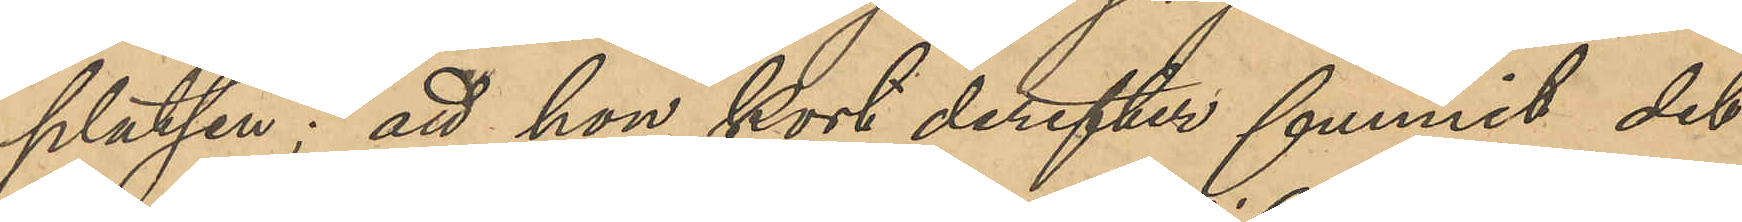platsen; att hon kort derefter funnit det
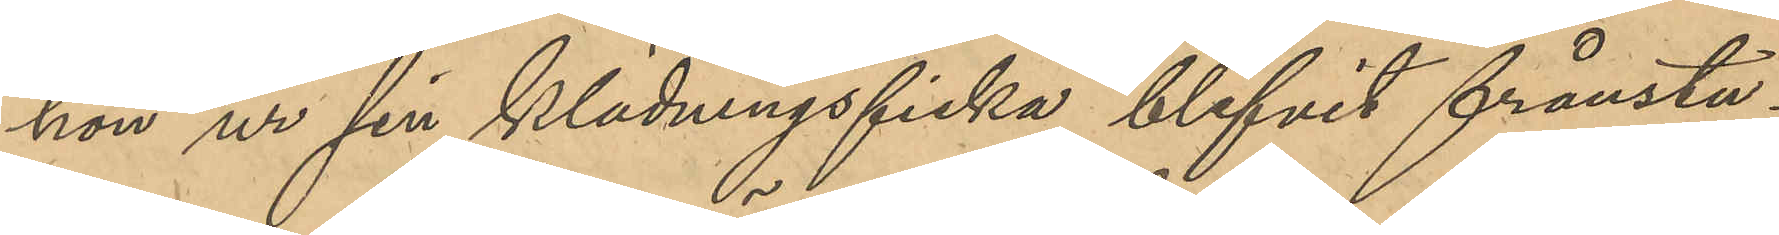hon ur sin klädningsficka blifvit frånstu¬
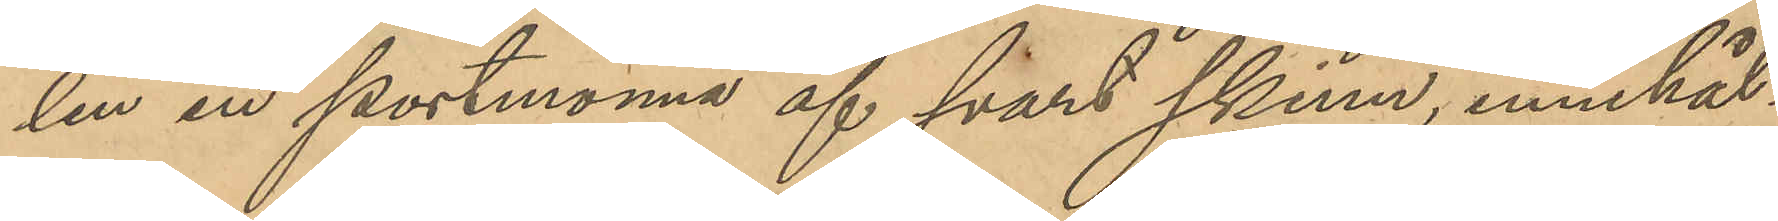len en portmonnä af svart skinn, innehål¬
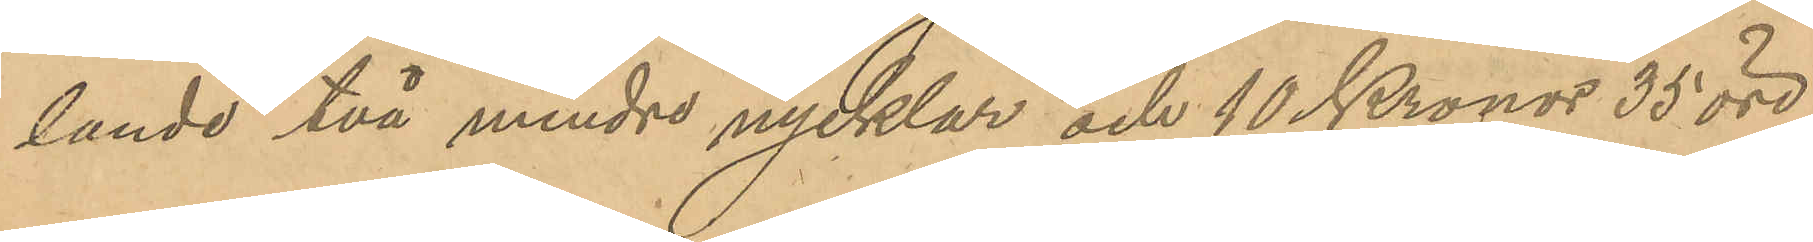lande två mindre nycklar och 10 Kronor 35 öre,
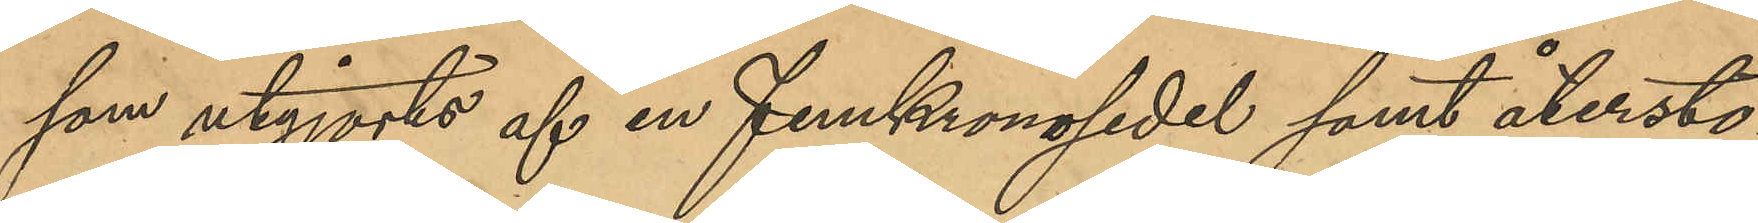som utgjorts af en femkronosedel samt återsto¬
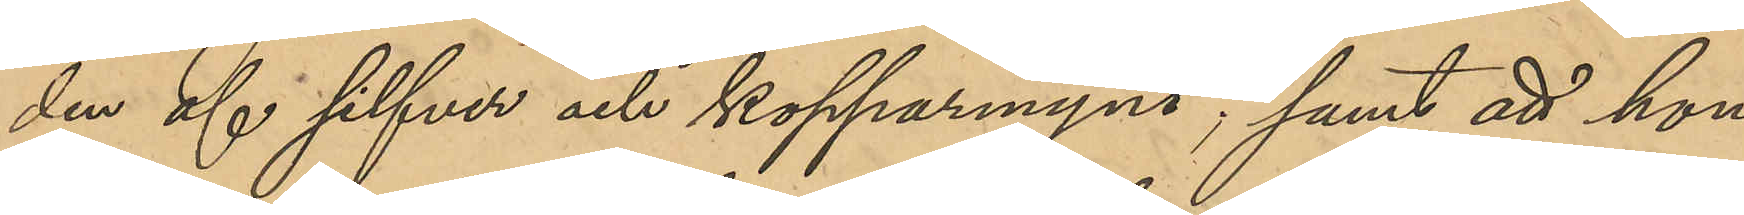den af silfver och kopparmynt; samt att hon
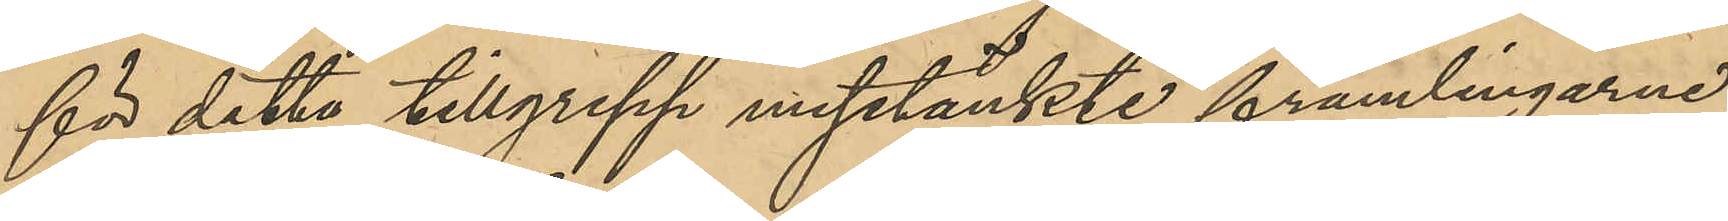för detta tillgrepp misstänkte främlingarne;
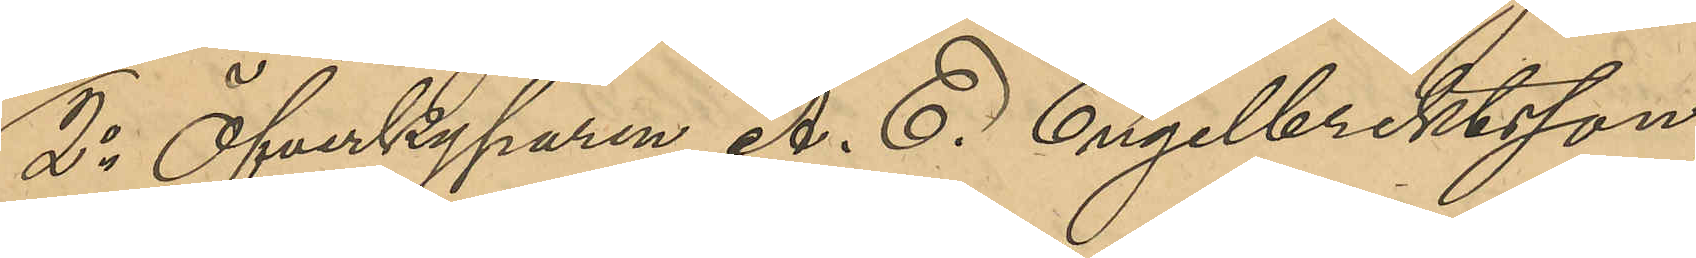2o Öfverkyparen A. E. Engelbrektsson,
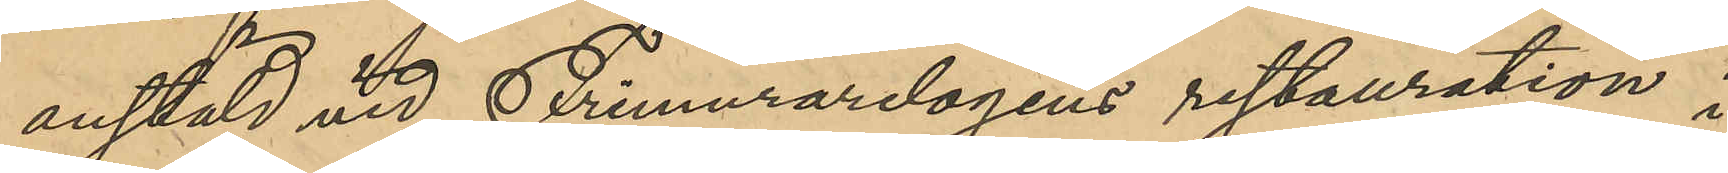anstäld vid Frimurarlogens restauration i
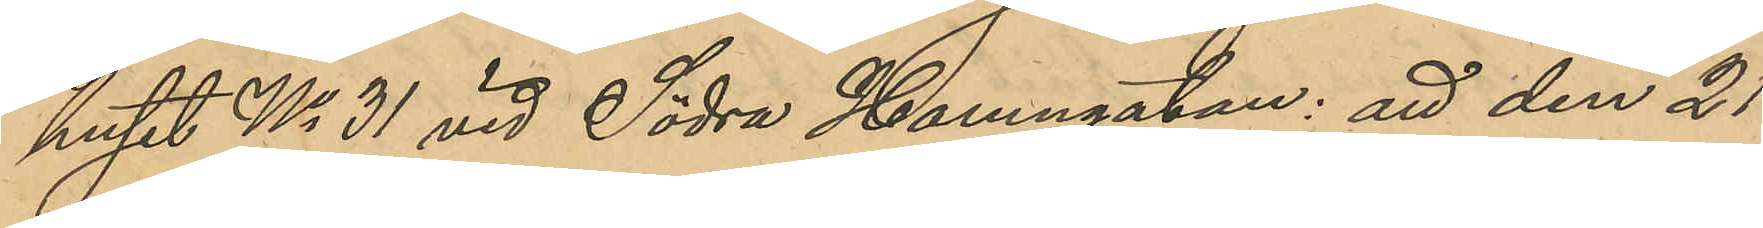huset No 31 vid Södra Hamngatan: att den 21
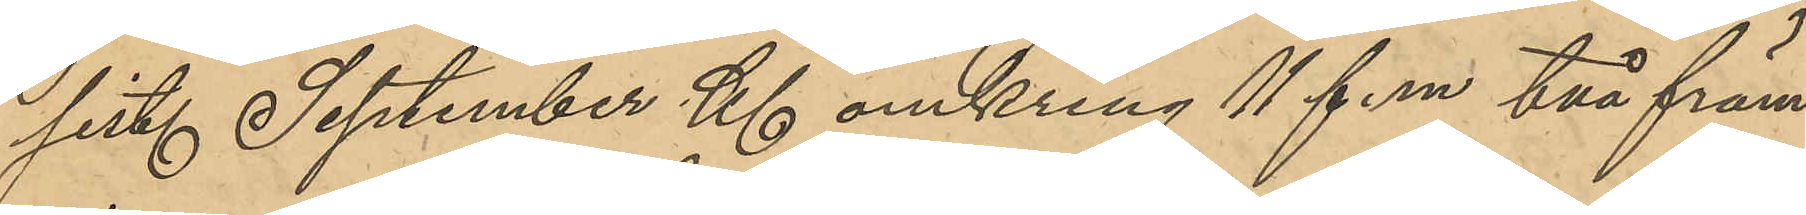sist. September Kl omkring 11 f. m. två främ¬
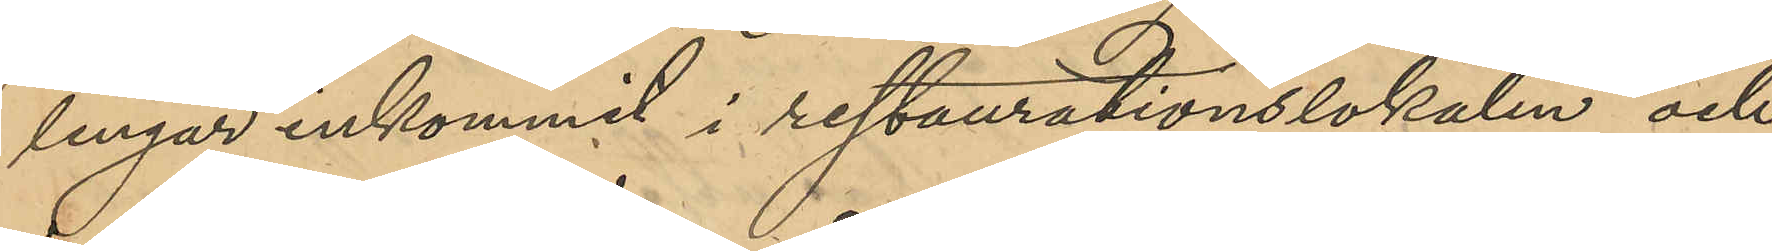lingar inkommit i restaurationslokalen och
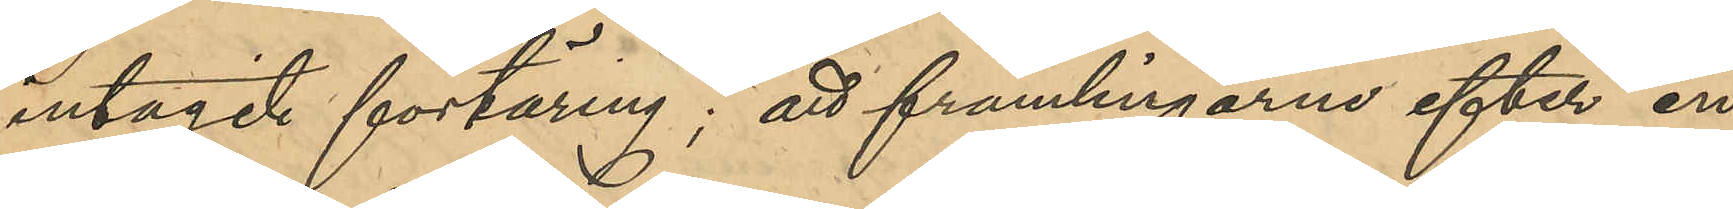intagit förtäring; att främlingarne efter en
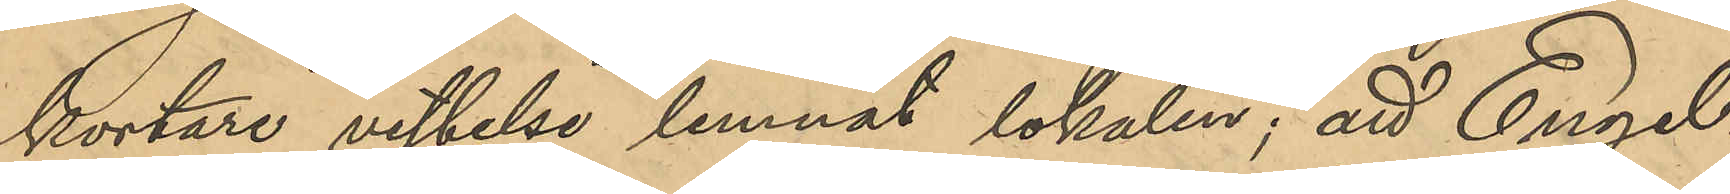kortare vistelse lemnat lokalen; att Engel¬
